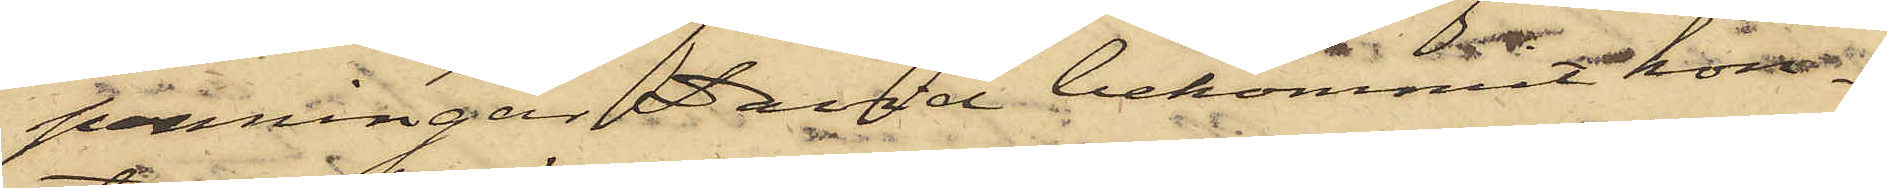penningar David bekommit kon¬
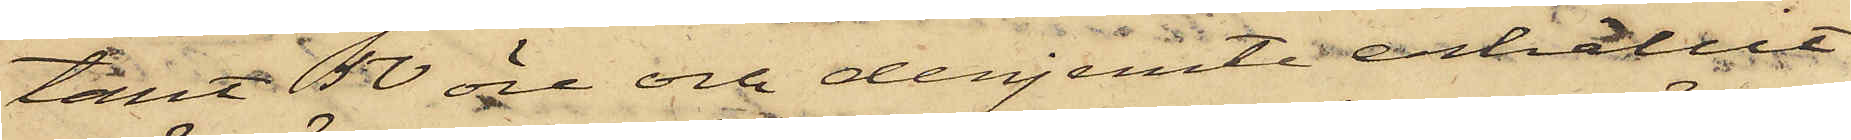tant 50 öre och derjemte erhållit
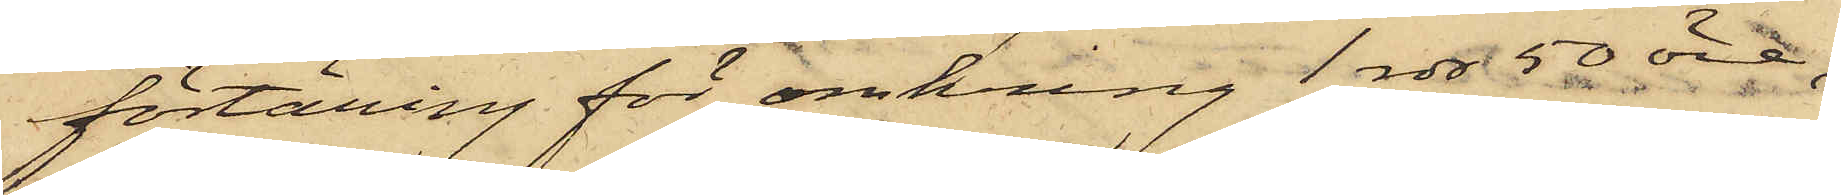förtäring för omkring 1 rdr 50 öre;
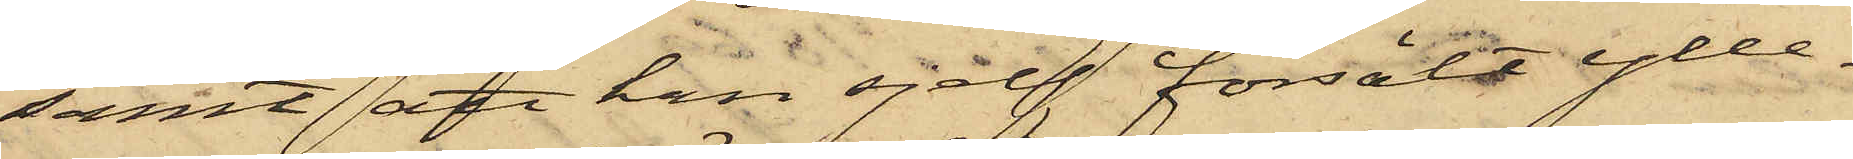samt att han sjelf försålt ylle¬
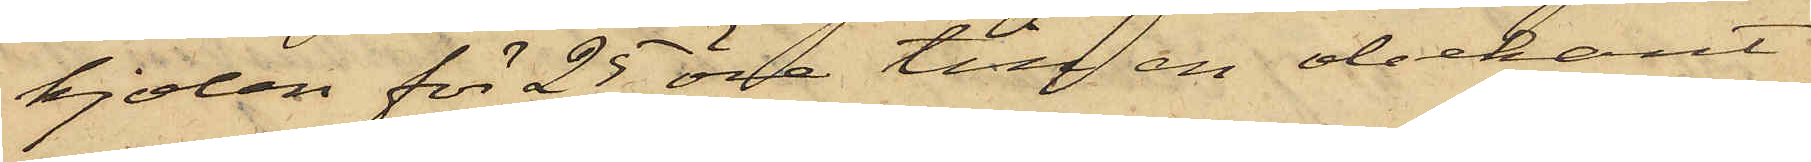kjolen för 25 öre till en obekant
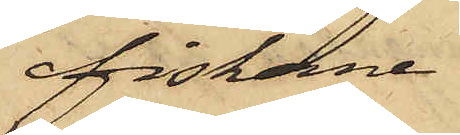fiskare
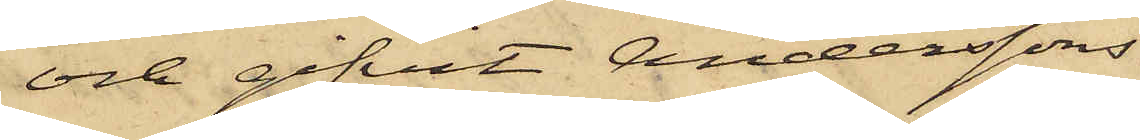och gifvit Anderssons
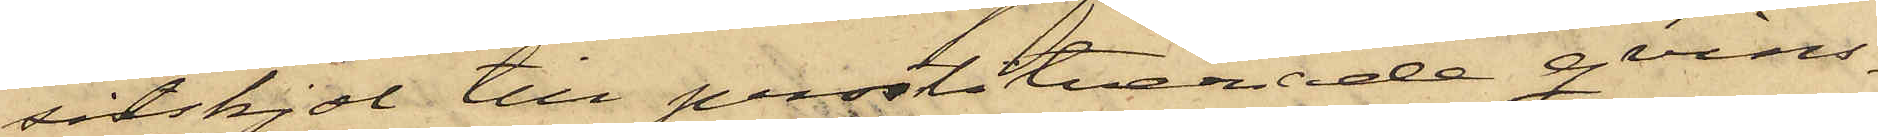sitskjol till prostituerade qvins¬
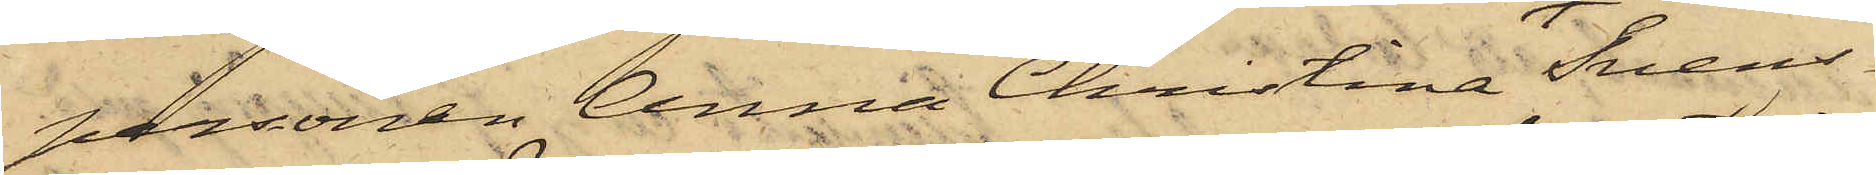personen Anna Christina Svens¬
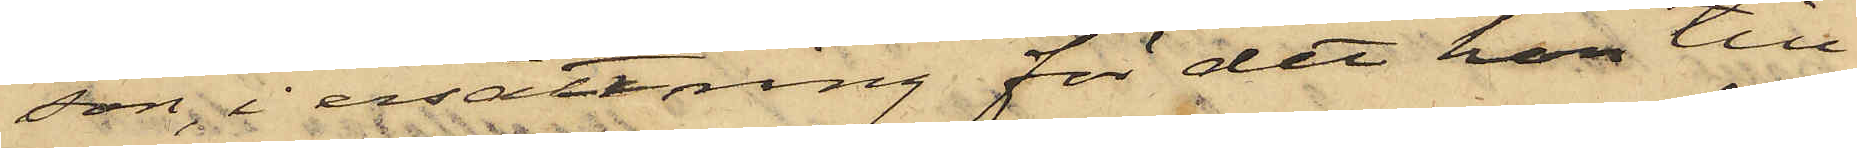son i ersättring för det hon till¬
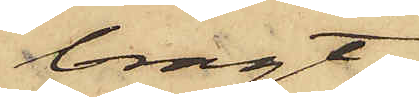bragt
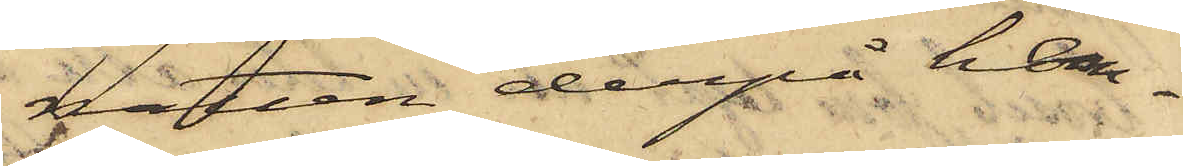natten derpå hem¬
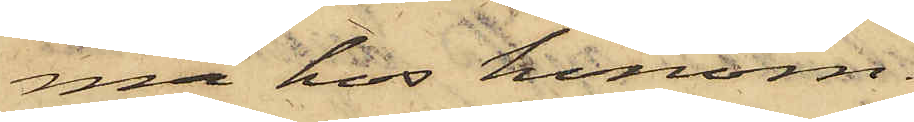ma hos honom.
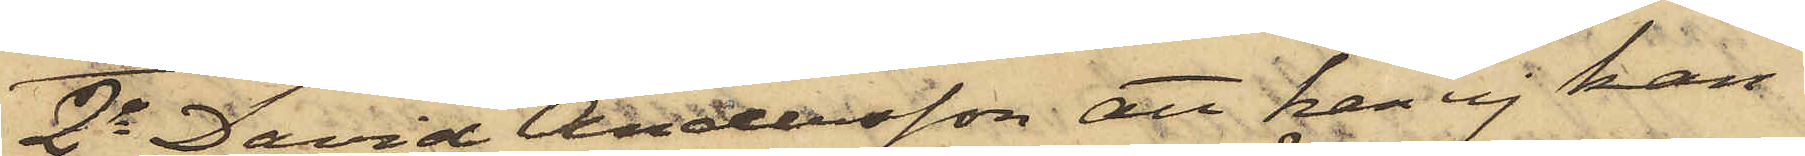2o David Andersson att han ej kan
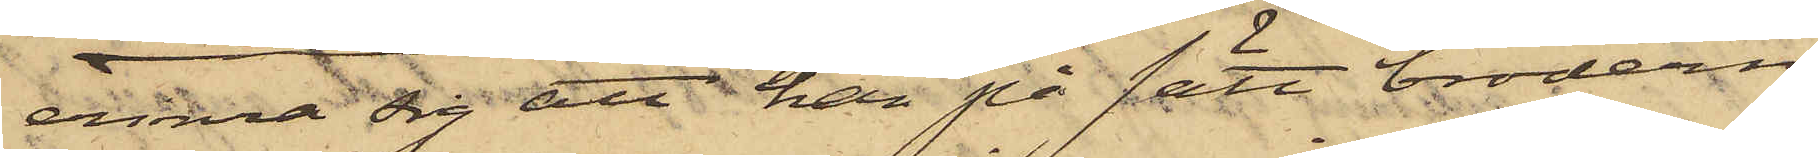erinra sig att han på sätt brodern
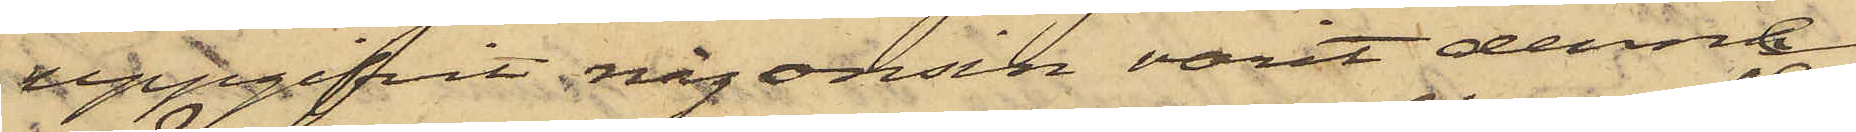uppgifvit någonsin varit denne
